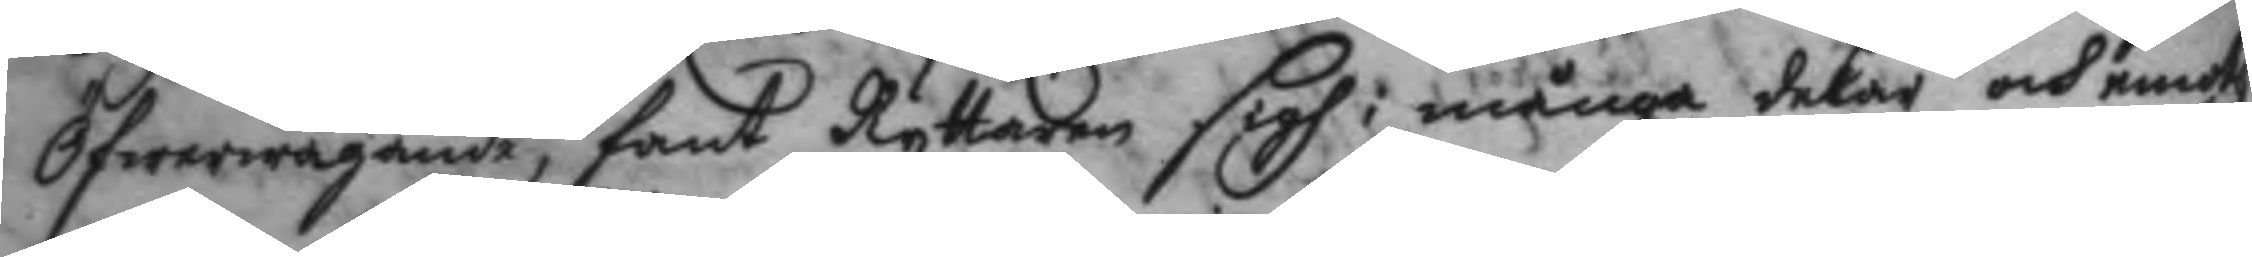Öfwerwägane, fant Ryttaren sigh i många delar och emoth
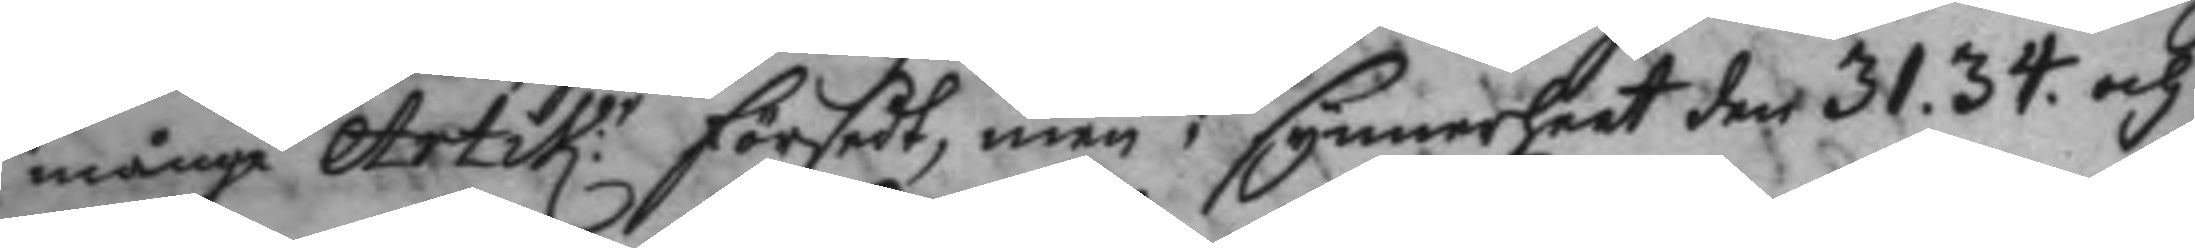många Artik:r försedt, men i synnerheet den 31. 34. och 
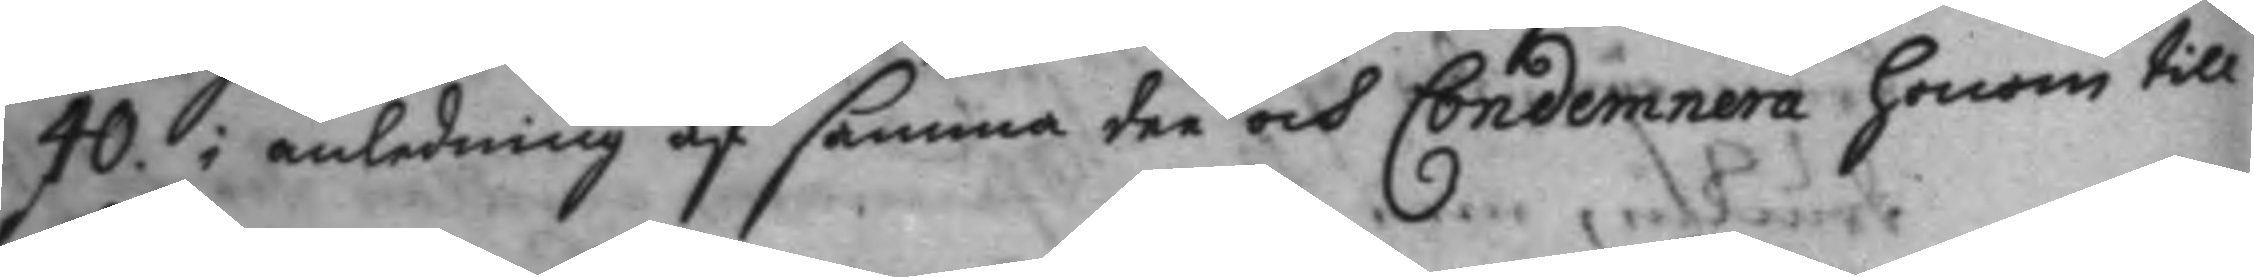40. i anledning af samma dee och Condemnera honom till
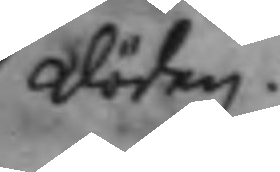döden.
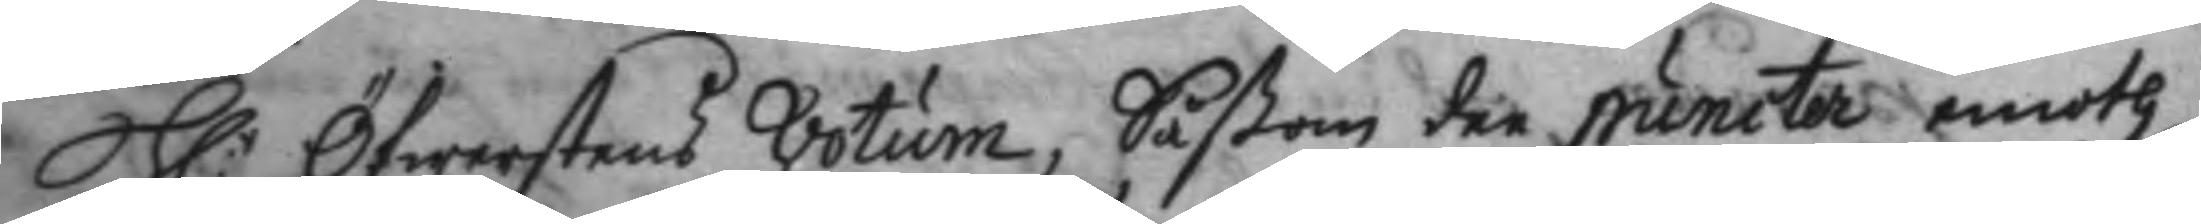H:r Öfwerstens Votum, Såßom dee puncter emoth
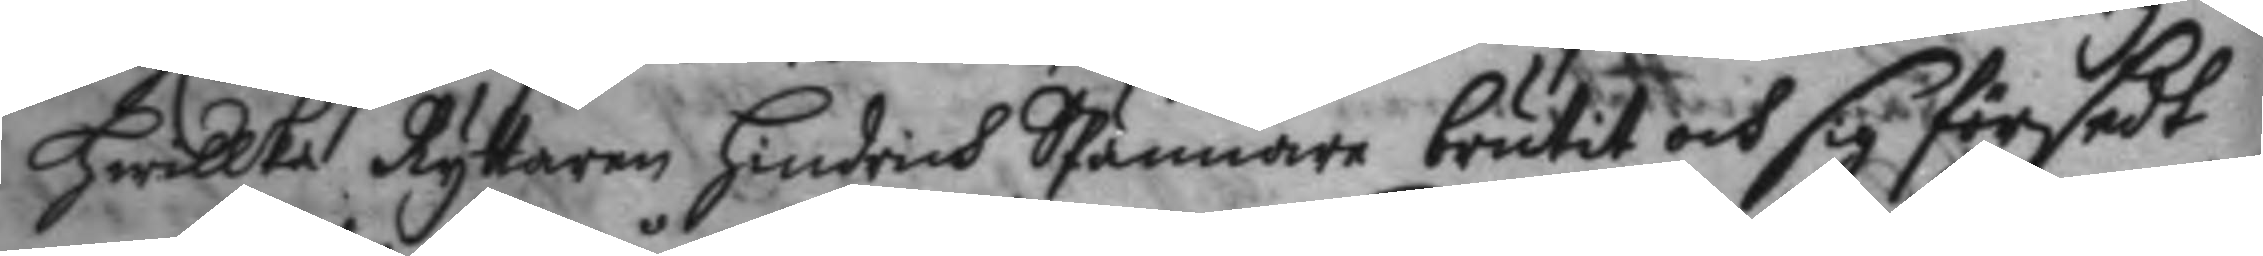hwillka Ryttaren Hindrich SPännare brutit och sig försedt
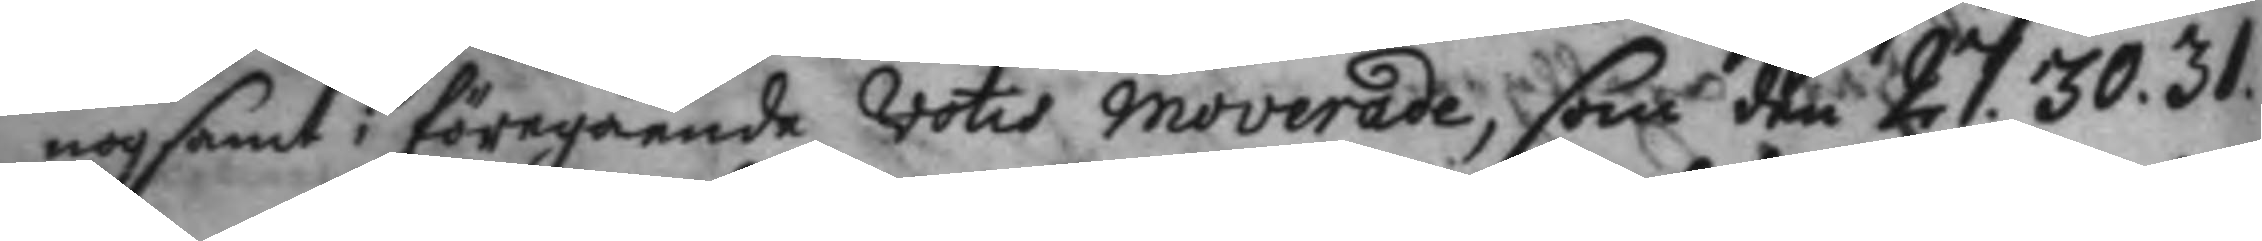nogsamt i föregående votis moverade, som den 27. 30. 31.
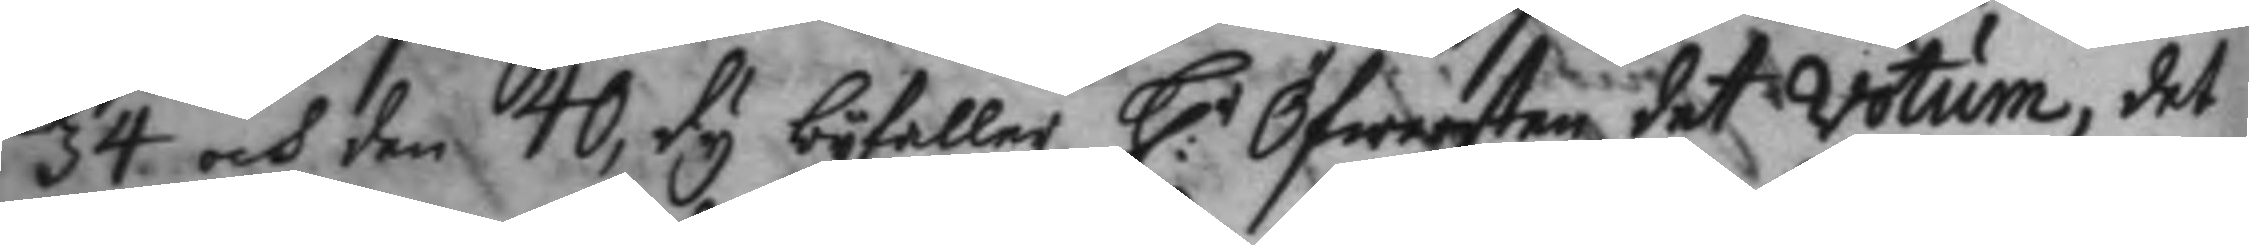34 och den 40, dy byfaller H:r Öfwersten det votum, det
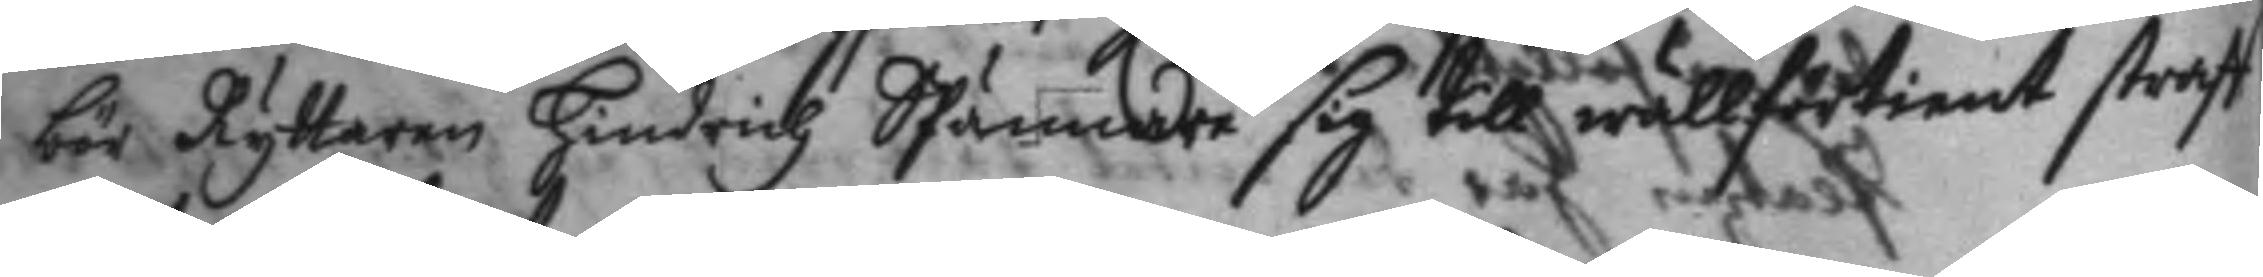bör Ryttaren Hindrich SPännare sig till wällförtient straff
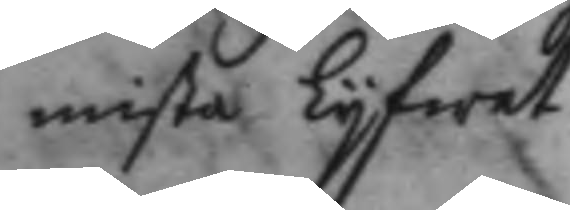mista Lyfwet.
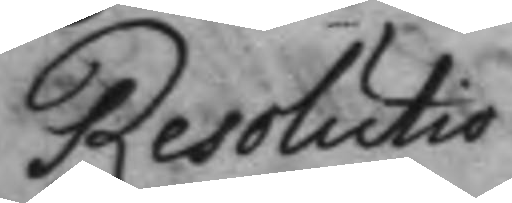Resolutio
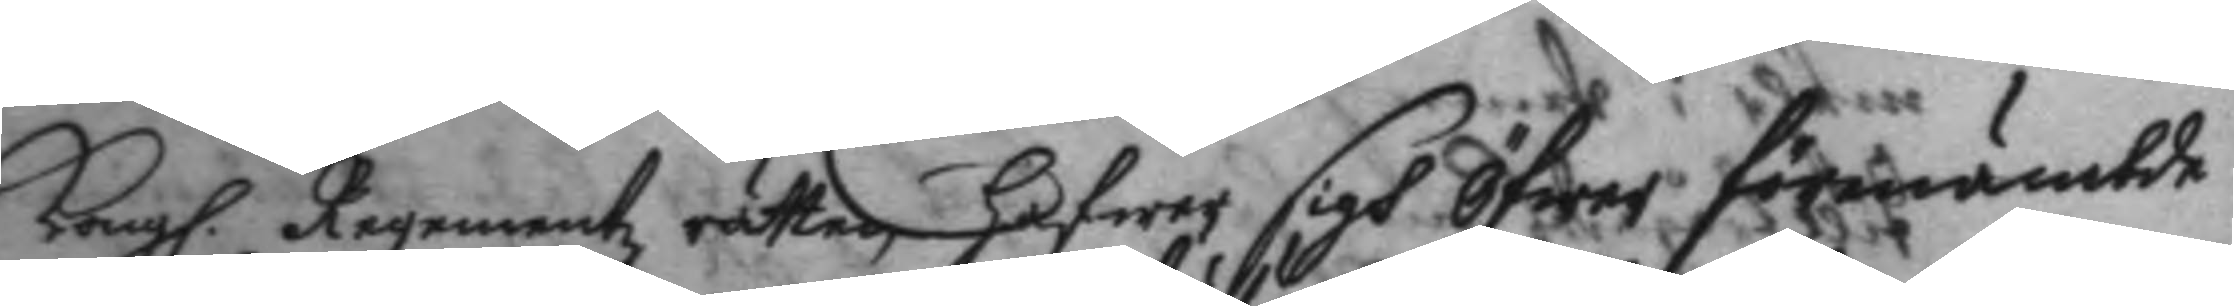Kong. Regementz rätten hafwer sigh Öfwer förenämtde
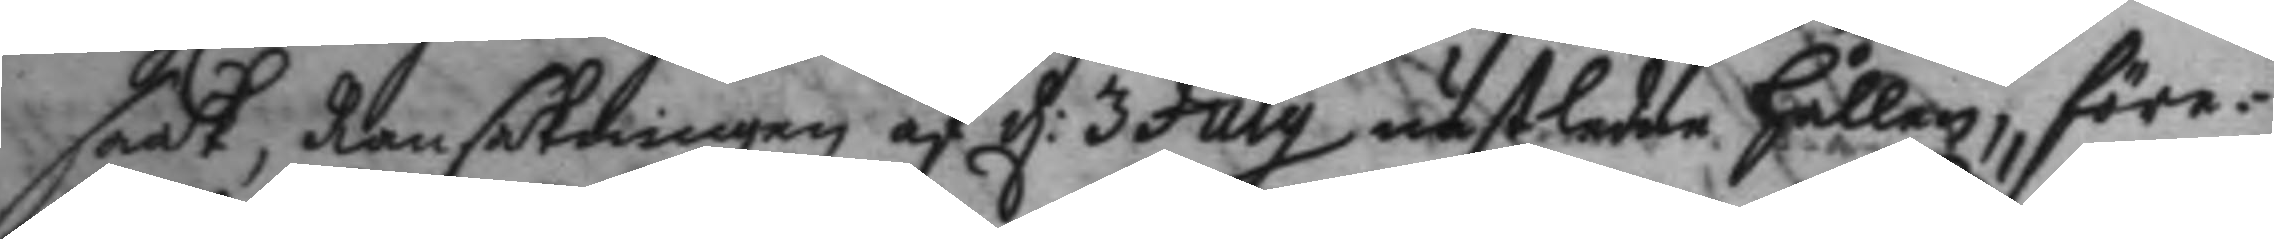saak, Ransakningen af d: 3 july nästledne hållen, före¬
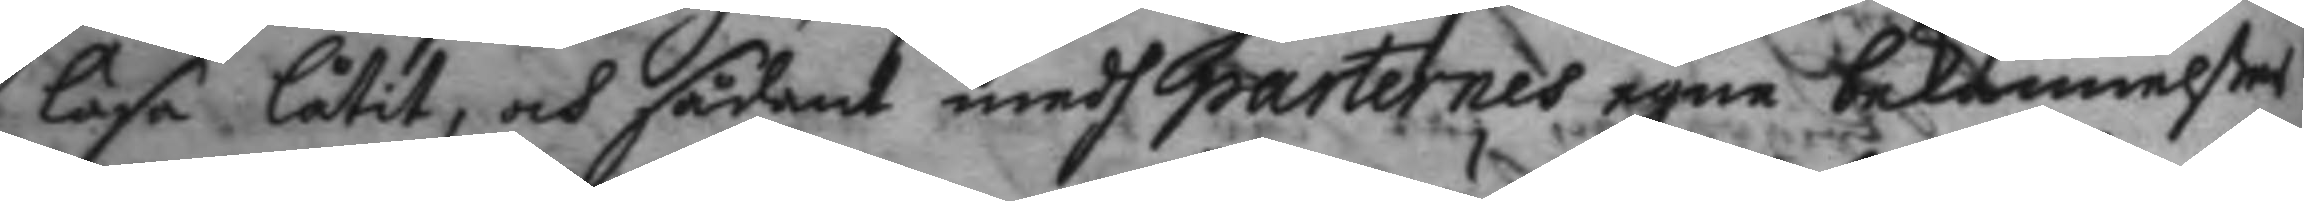läsa låtit, och sådant medh parternes egne bekännelßer
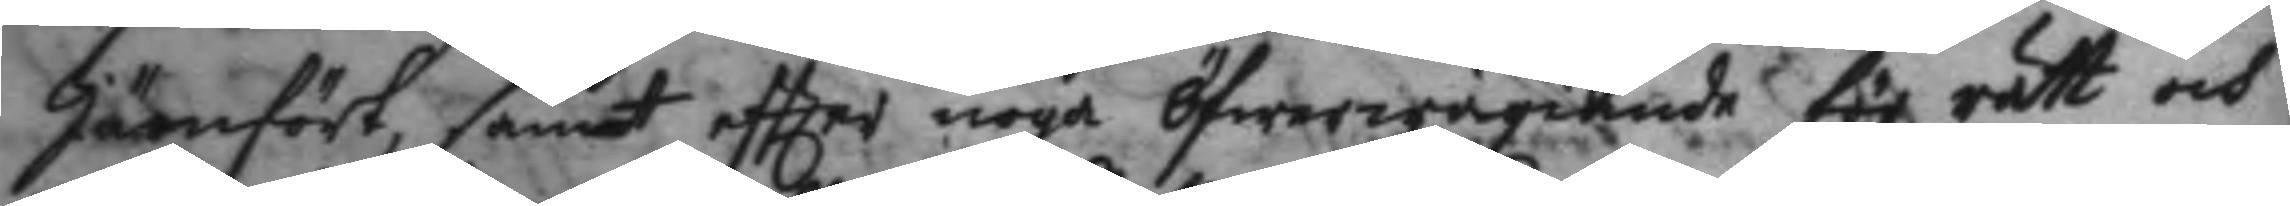jämfört, samt eftter noga Öfwerwägande för rätt och
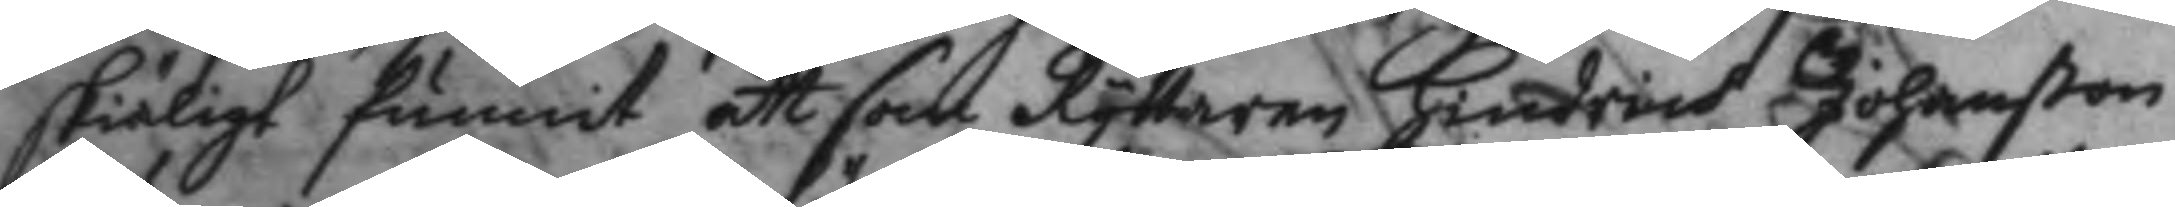skiäligt funnit att som Ryttaren Hindrich Johanßon
